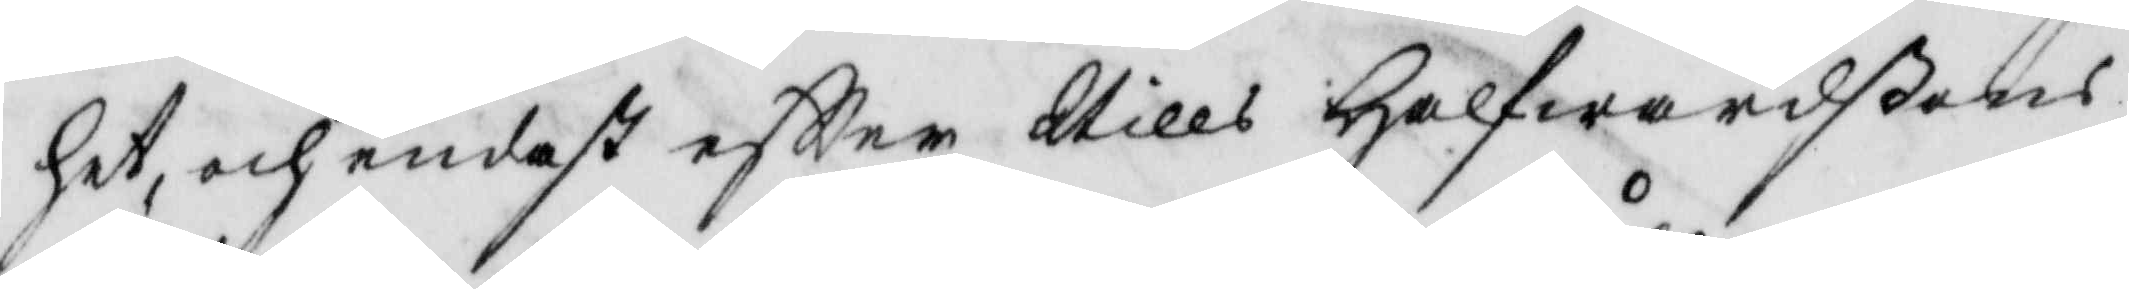het, och endast eftter Nills Halfwardßons
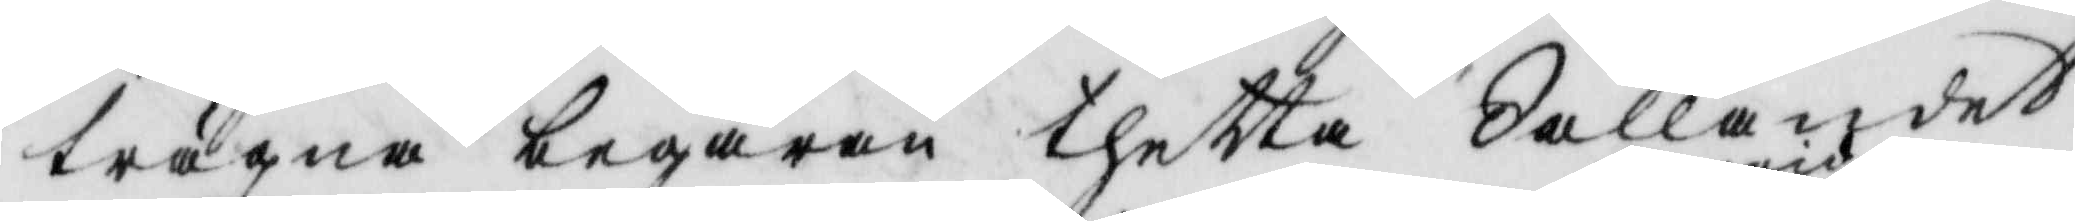trägna begäran thetta Sållandet
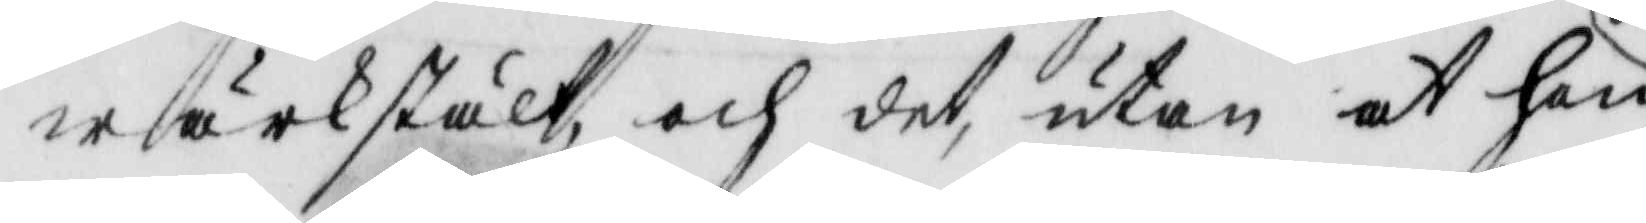wärkstält och det utan at hon
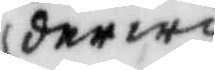derwid
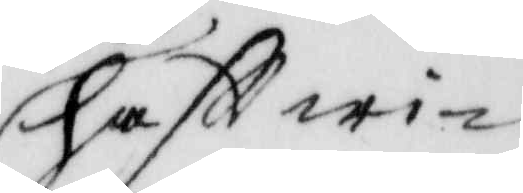haftt wi¬
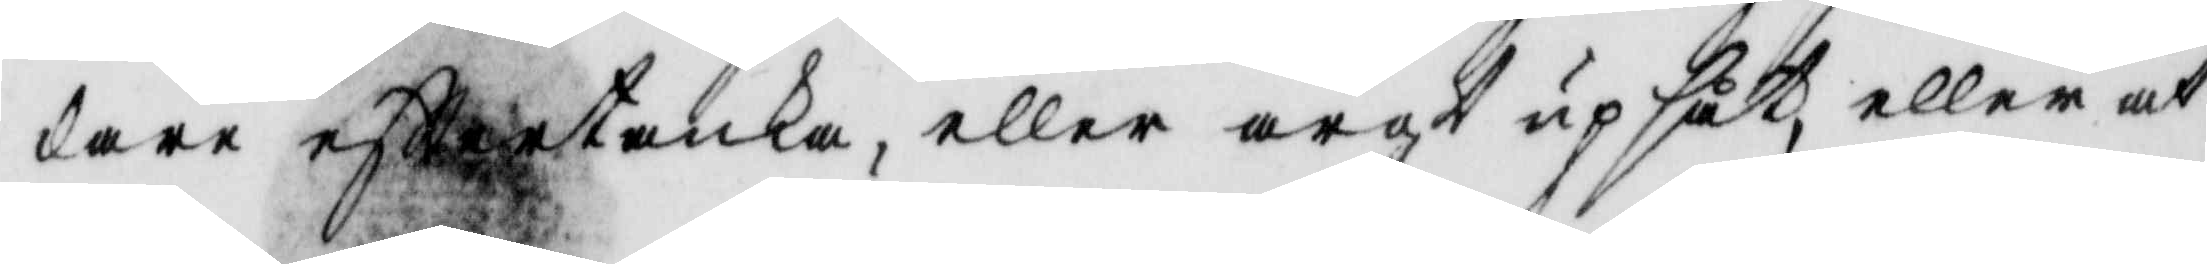dare efttertanka, eller argt upsåt, eller at
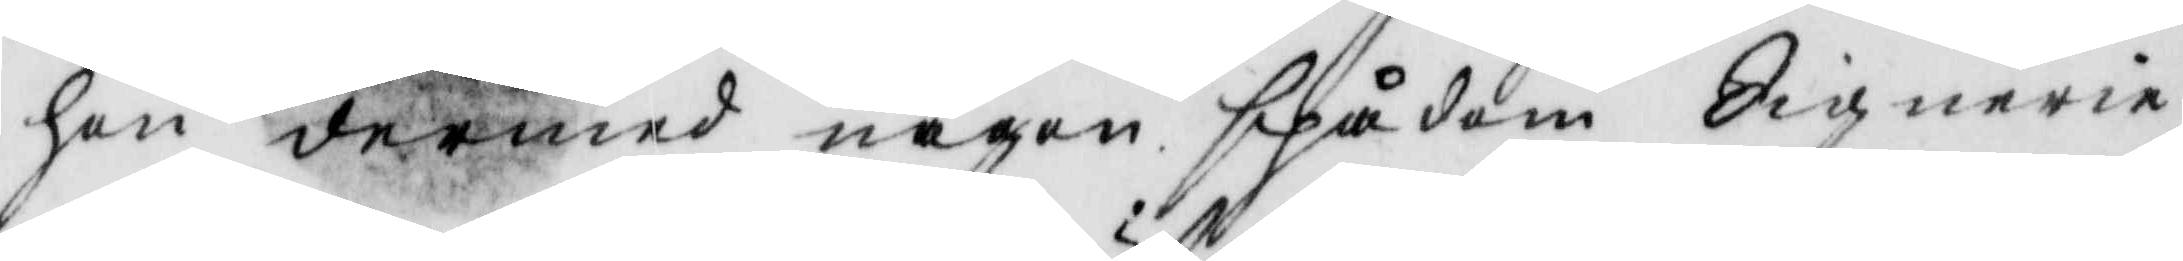hon dermed någon spådom Signerie
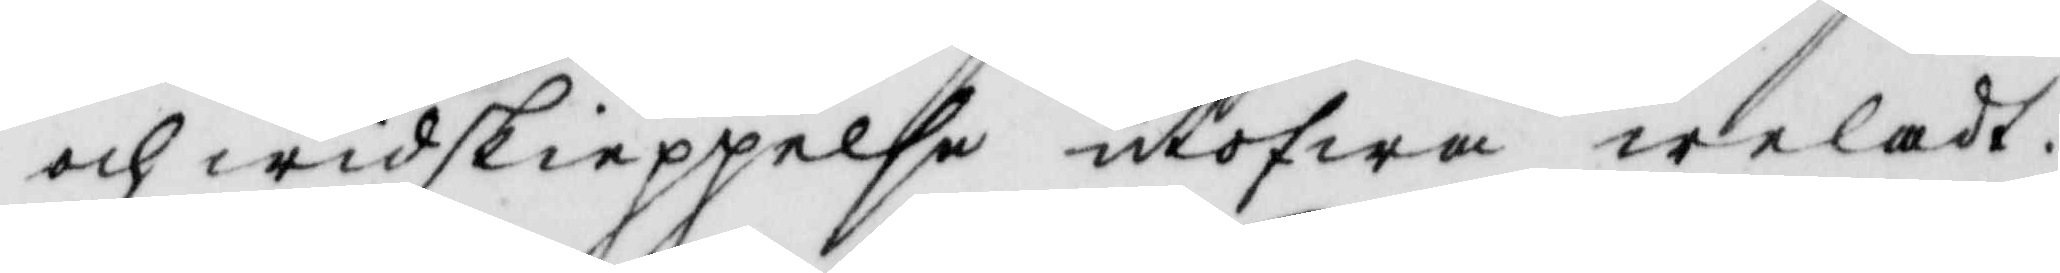och widskieppelse utöfwa welat.
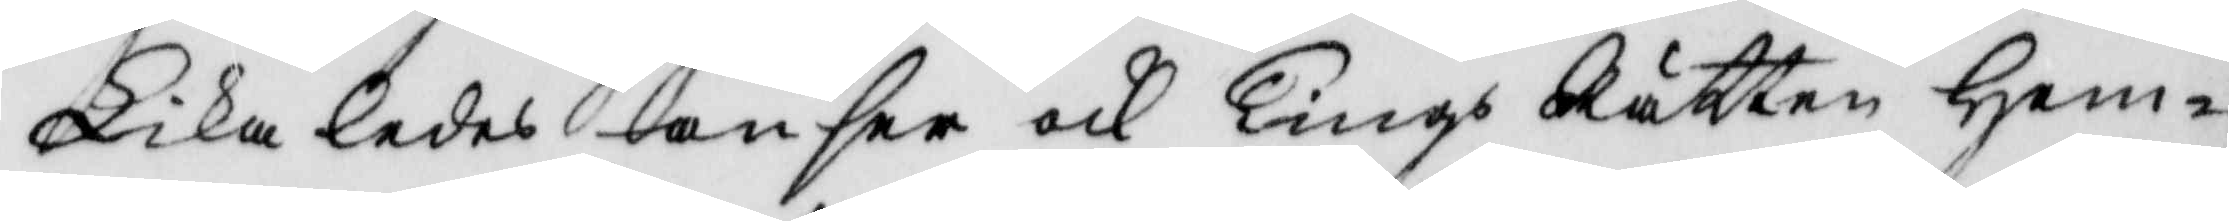Likaledes anser ock Tings Rätten Hem¬
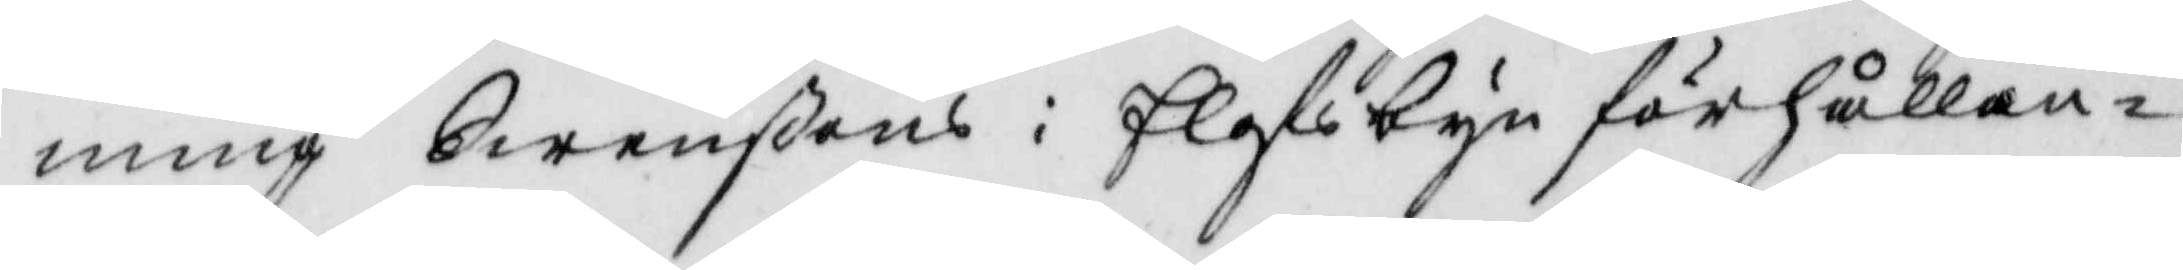ming Swenßons i Elofsbyn förhållan¬
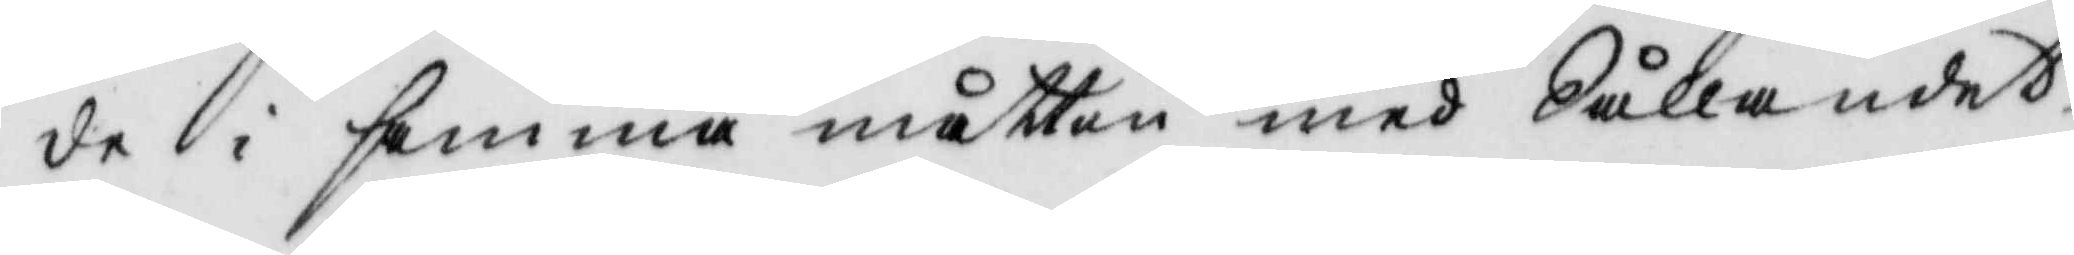de i samma måtto med Sållandet
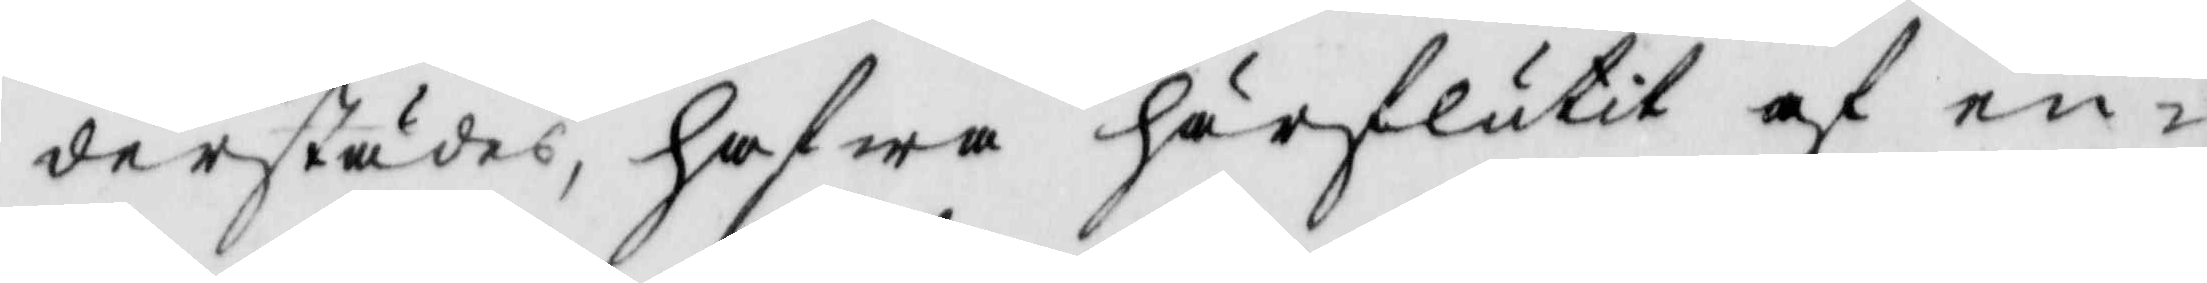derstädes, hafwa härslutit af en¬
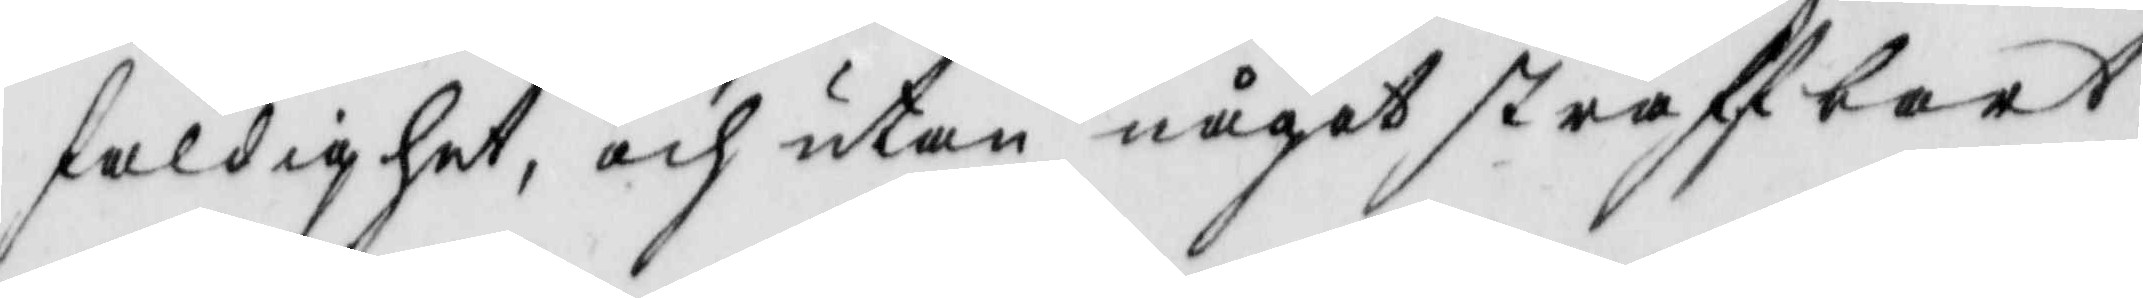faldighet, och utan något straffbart
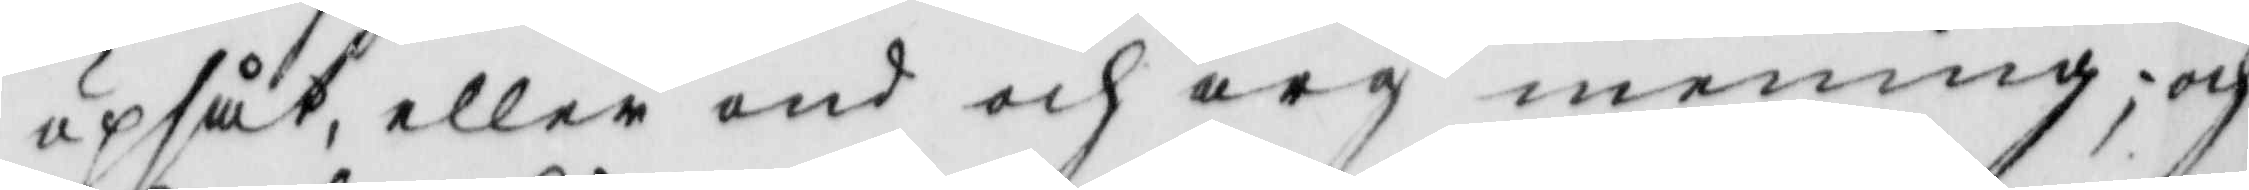upsåt, eller ond och arg mening; och
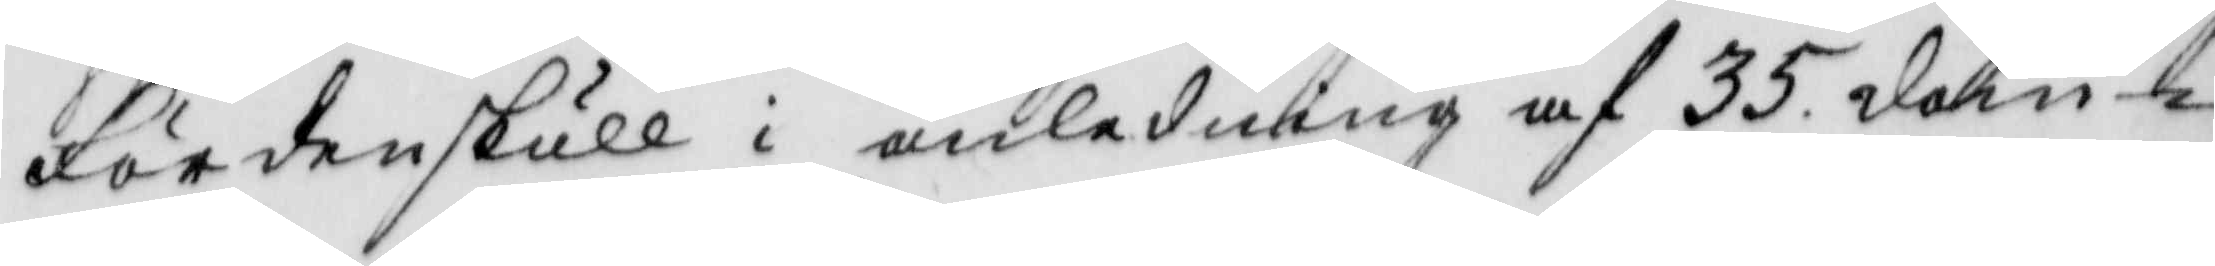fördenskull i anledning af 35 dom¬
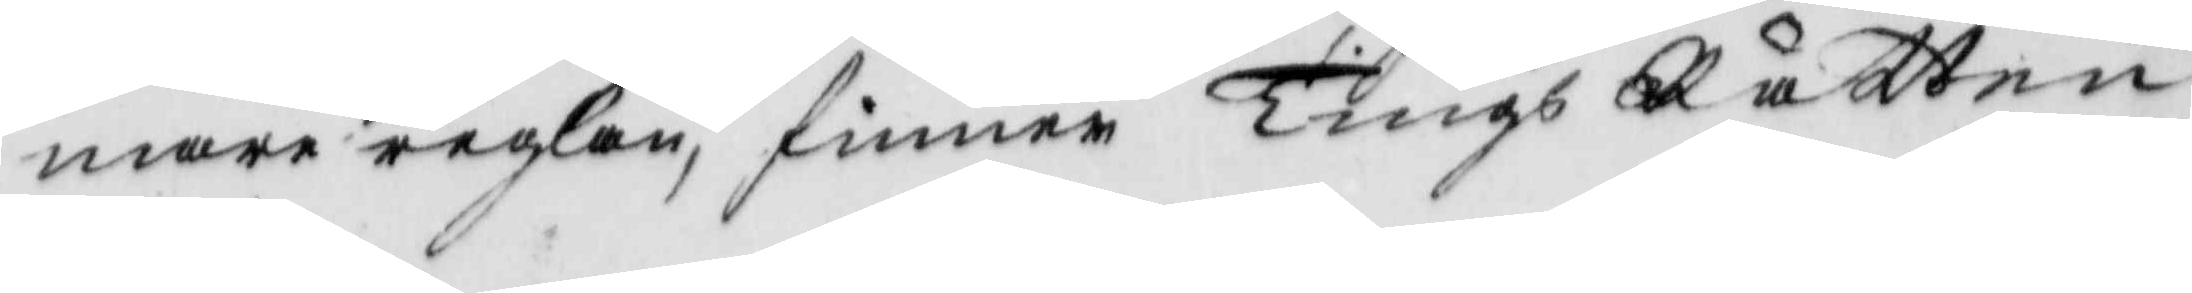mare reglan, finner Tings Rätten
